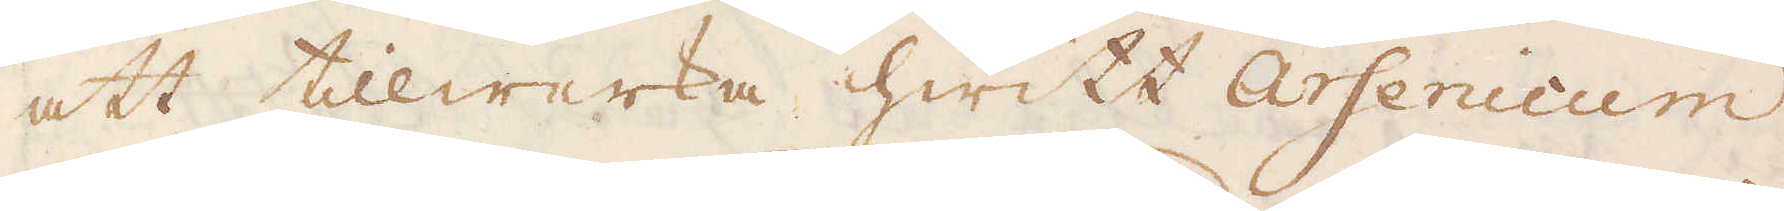att tillwerka hwitt Arsenicum,
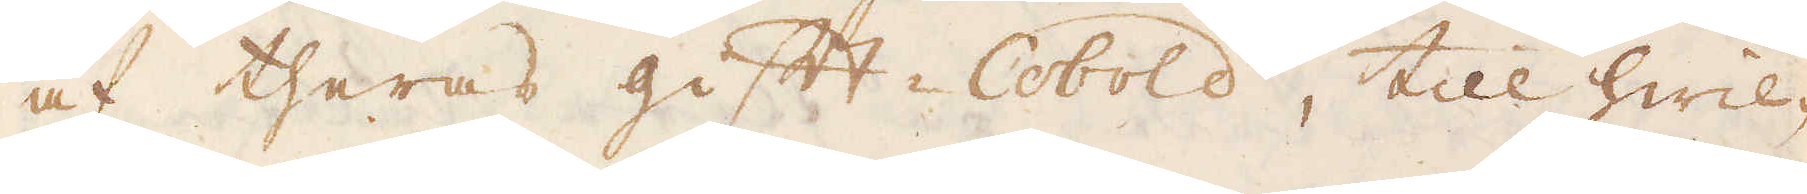af theras gift-Cobold, till hwil-
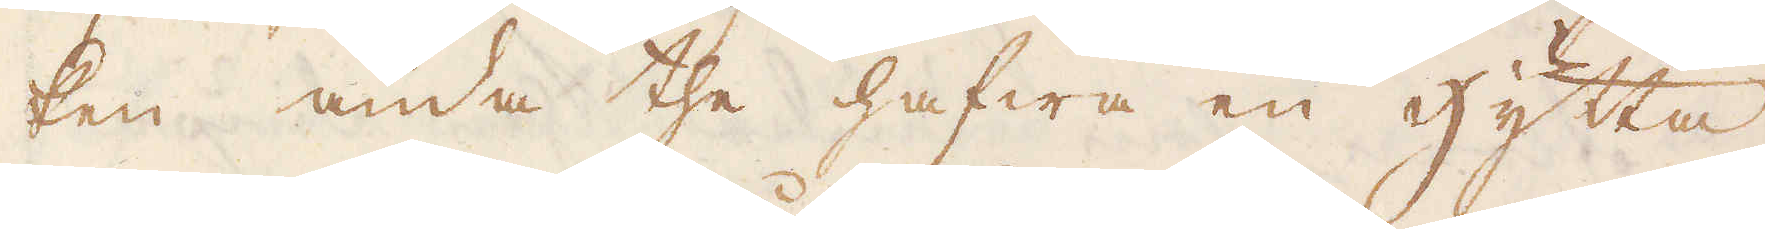ken ända the hafwa en Hytta
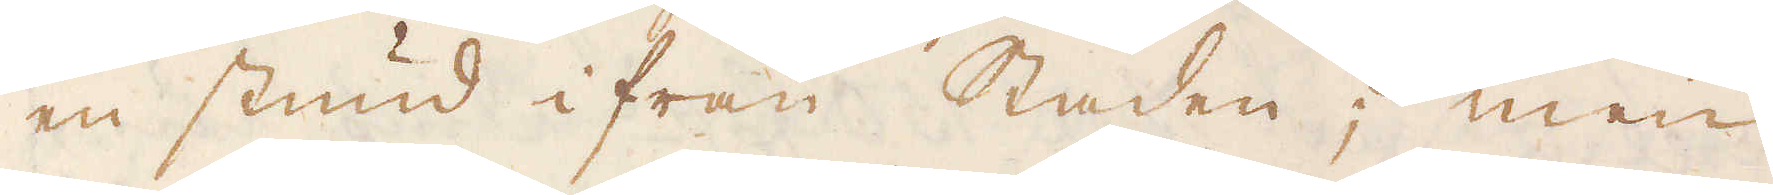en stund ifrån Staden; men
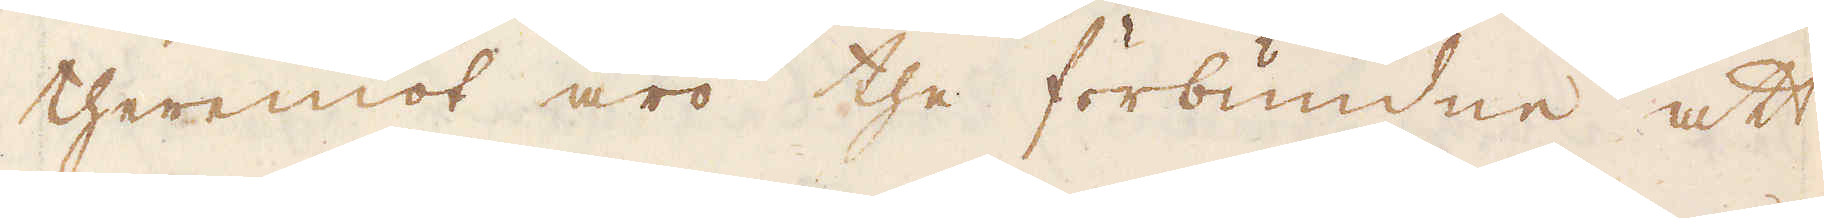theremot äro the förbundne att
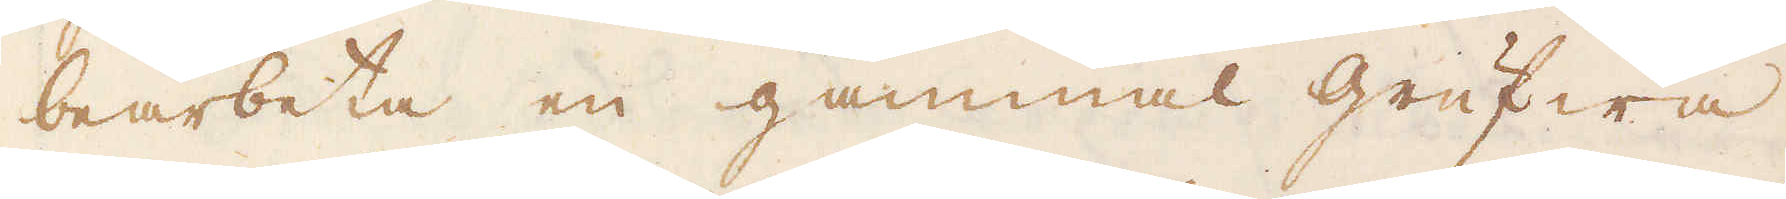bearbeta en gammal grufwa
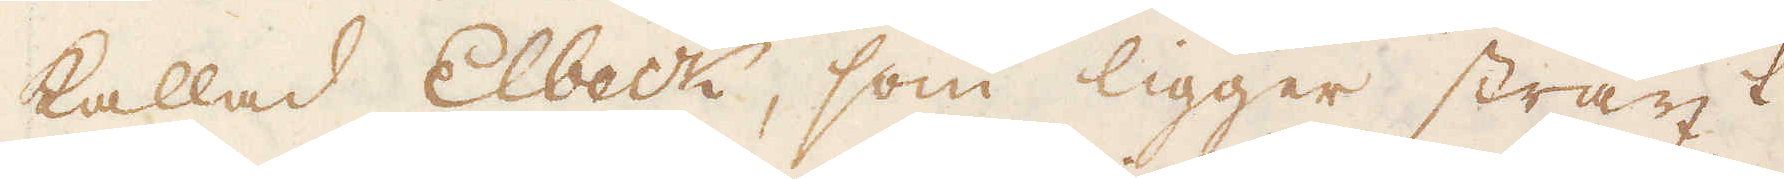kallad Elbeck, som ligger straxt
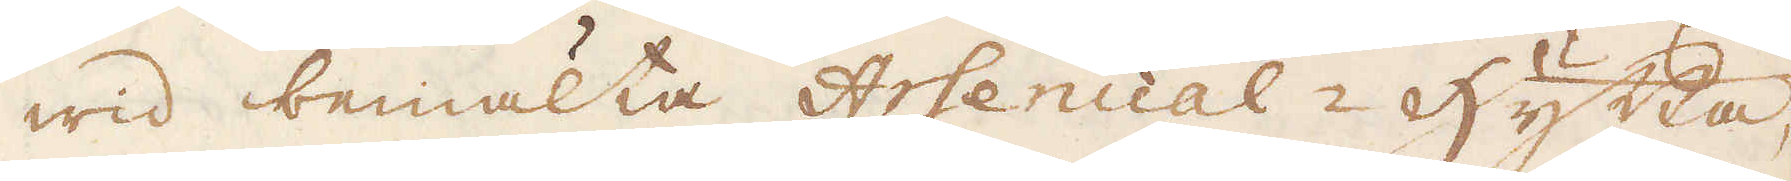wid bemälta Arsenical-Hytta,
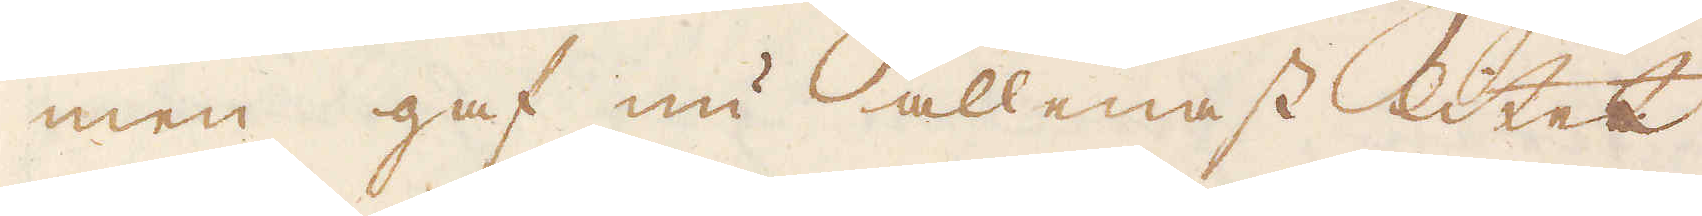men gaf nu allenast litet
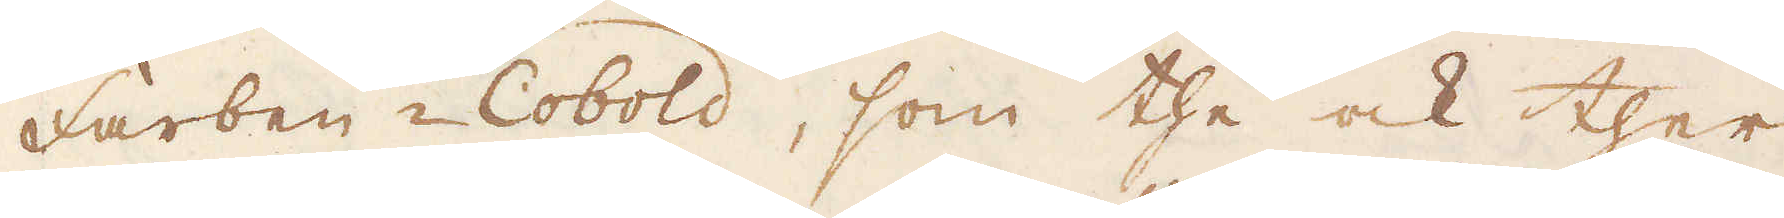Farben-Cobold, som the ock ther
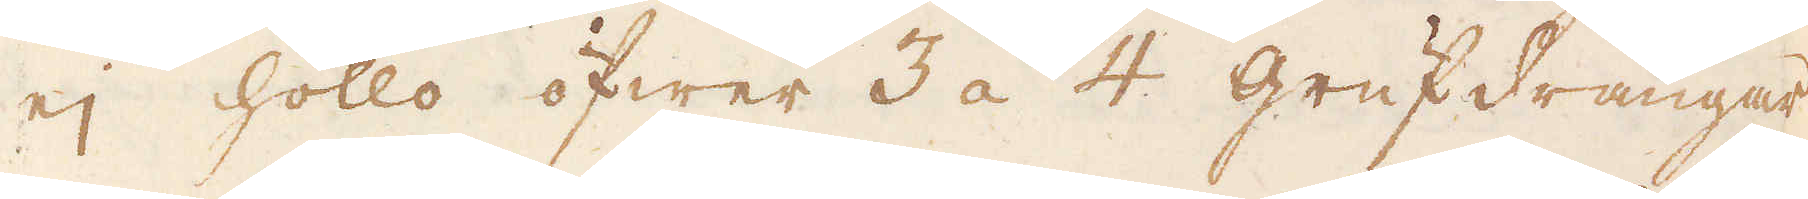ej hollo öfwer 3 á 4 grufdrängar
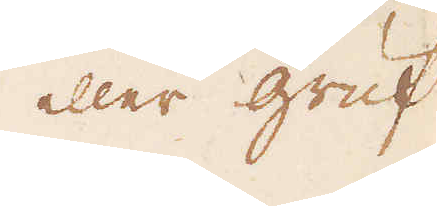eller gruf
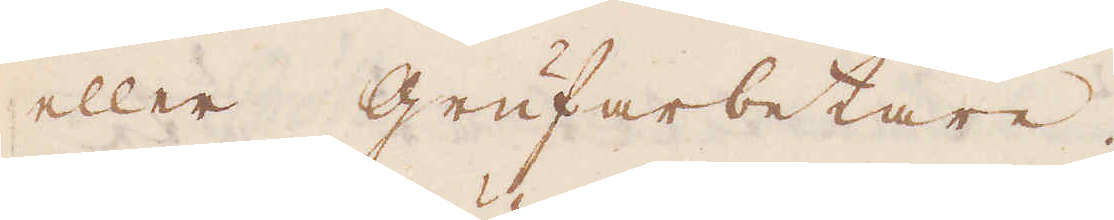eller grufarbetare.
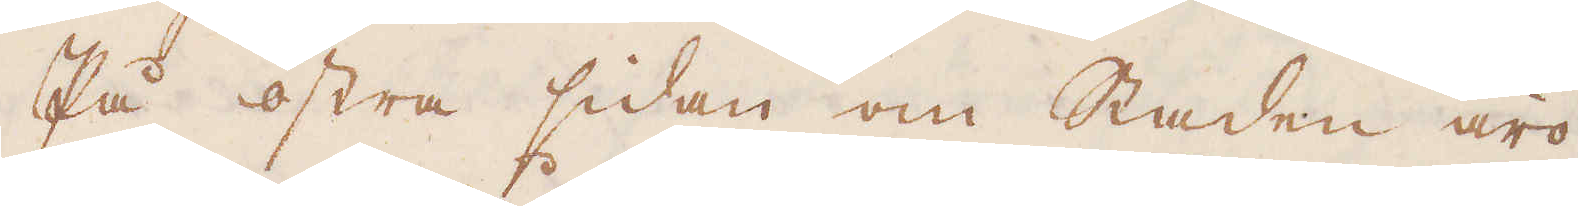På östra sidan om Staden äro
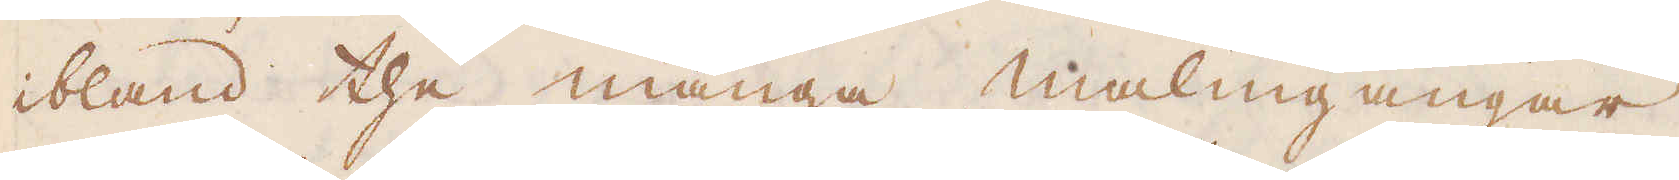ibland the många malmgångar,
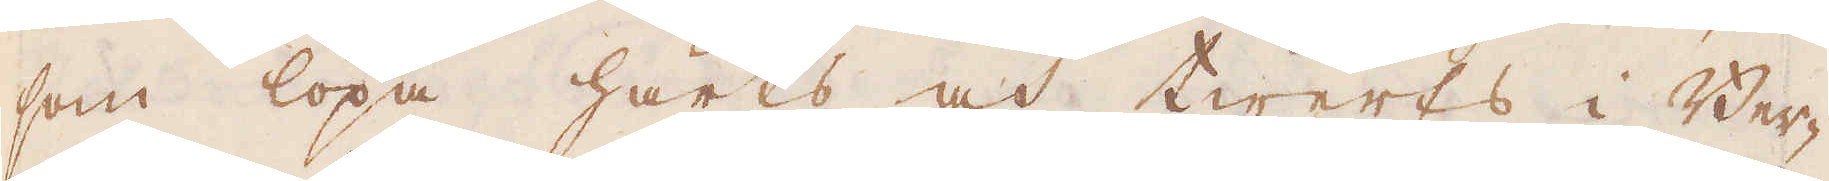som löpa härts och twerts i Ber-
